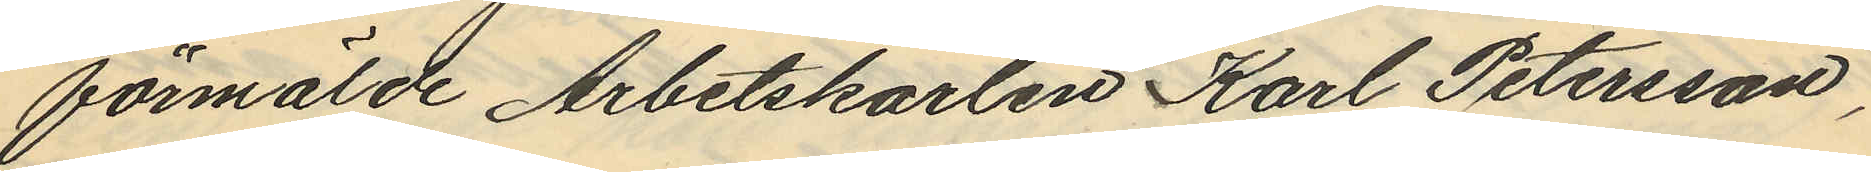förmälde Arbetskarlen Karl Petersson,
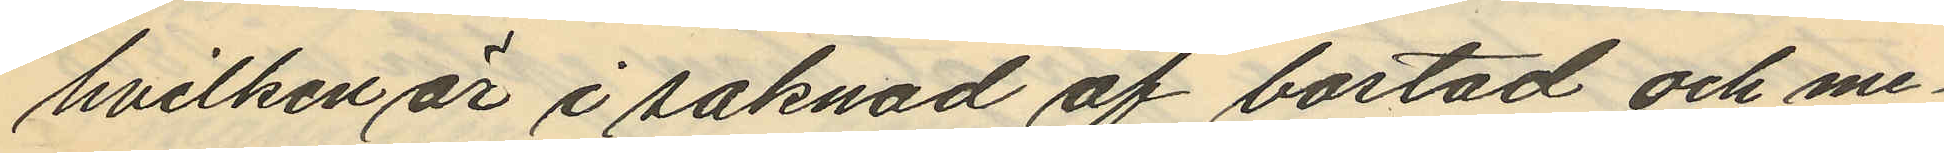hvilken är i saknad af bostad och me¬
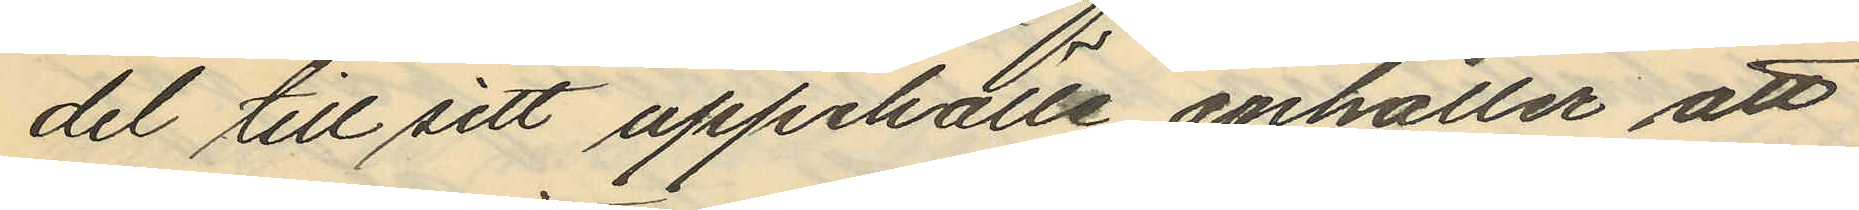del till sitt uppehälle anhåller att
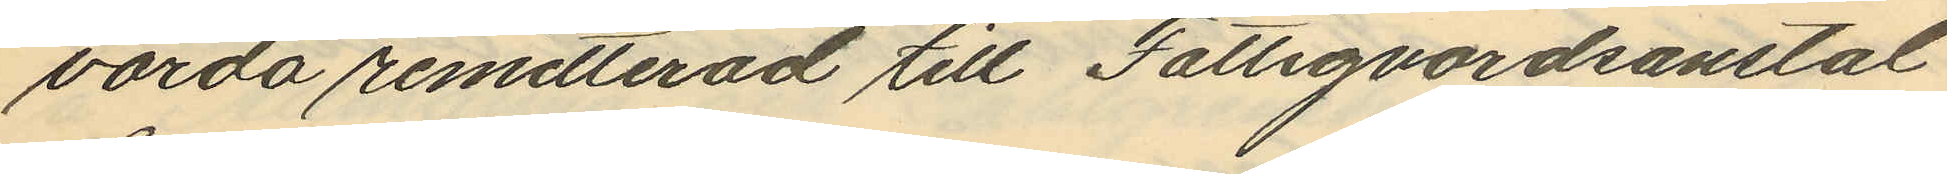varda remitterad till Fattigvårdsanstal¬
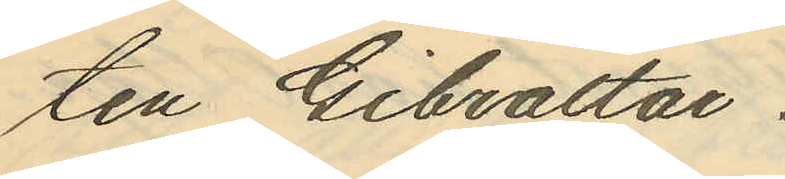ten Gibraltar.
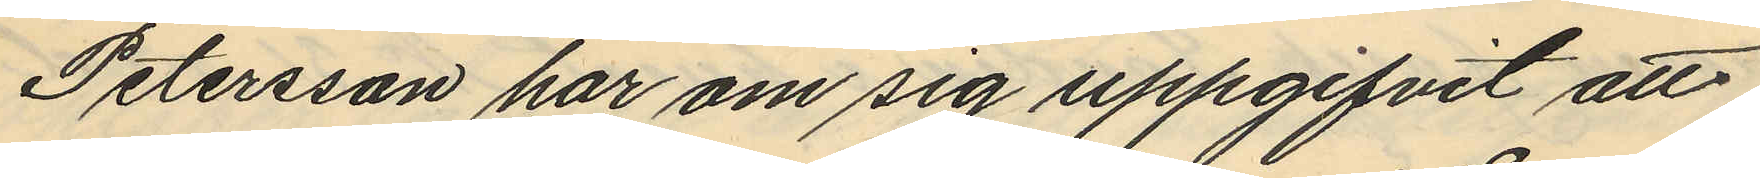Petersson har om sig uppgifvit att
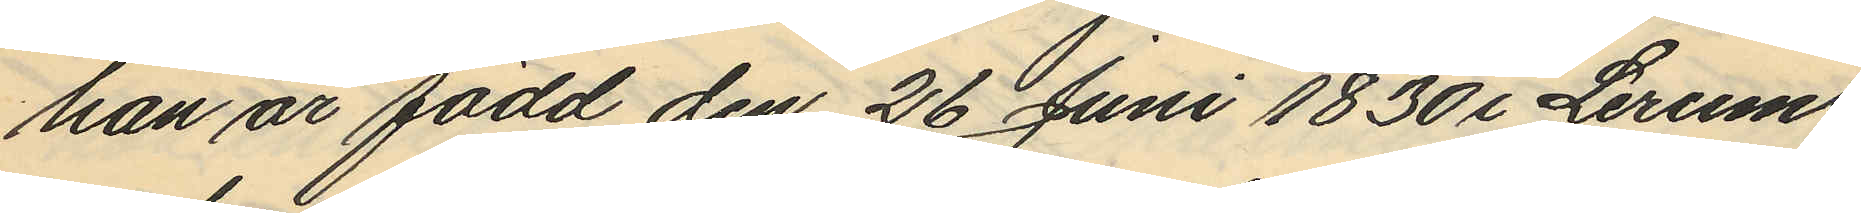han är född den 26 Juni 1830 i Lerums
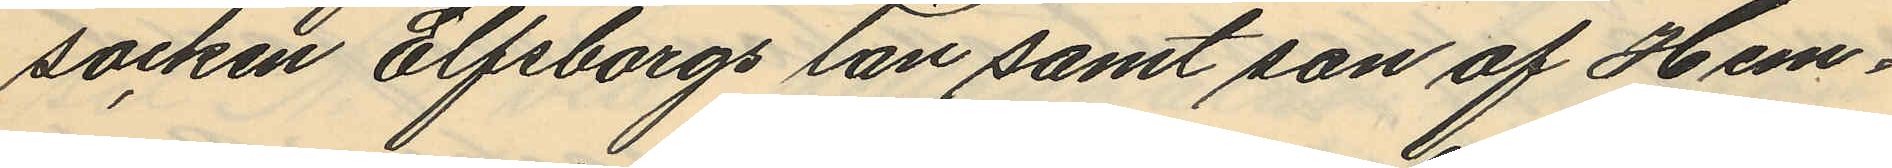socken Elfsborgs län samt son af Hem¬
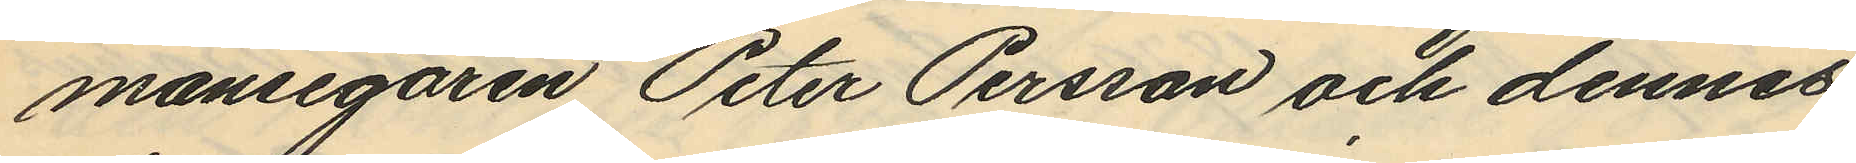mansegaren Peter Persson och dennes
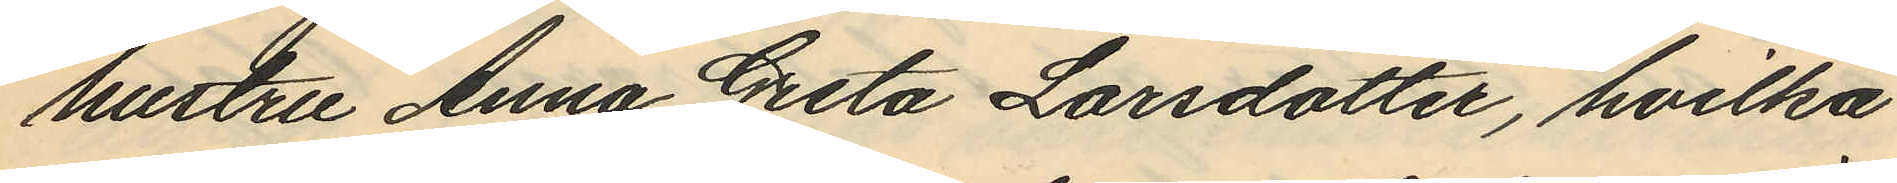hustru Anna Greta Larsdotter, hvilka
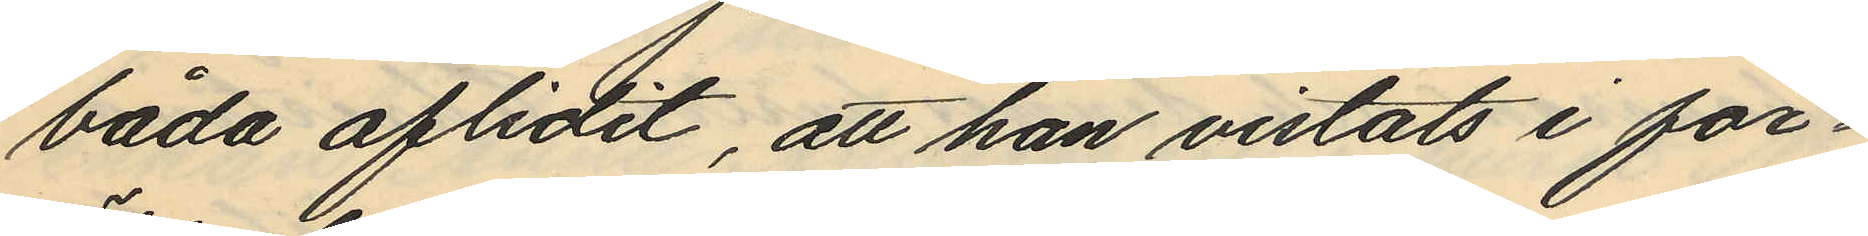båda aflidit, att han vistats i för¬
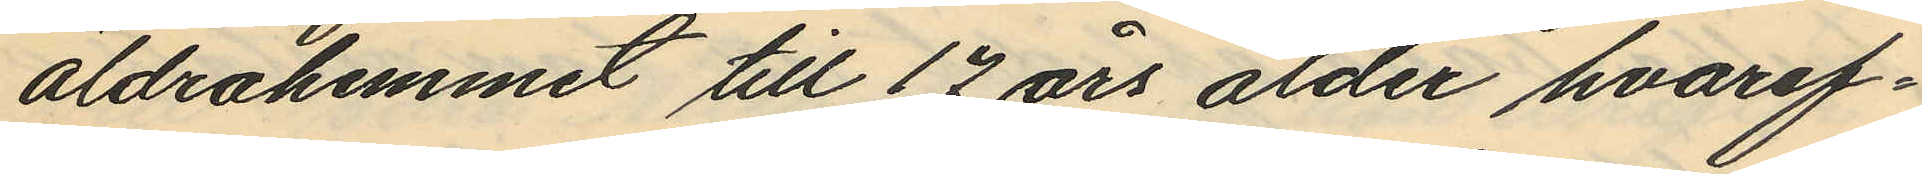äldrahemmet till 17 års ålder hvaref¬
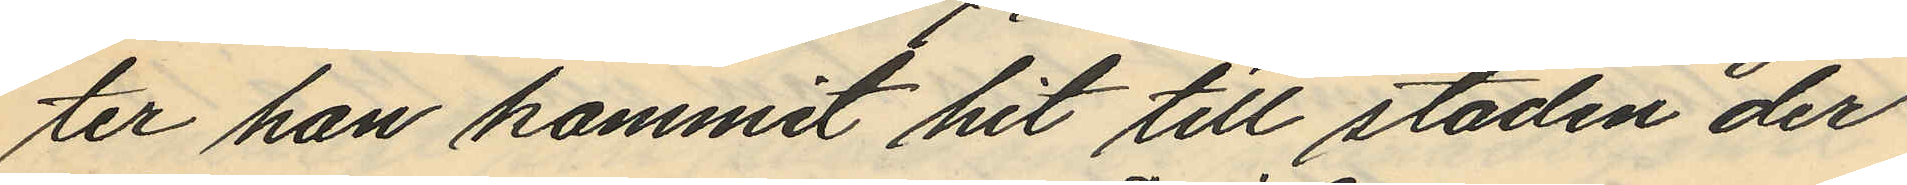ter han kommit hit till staden der
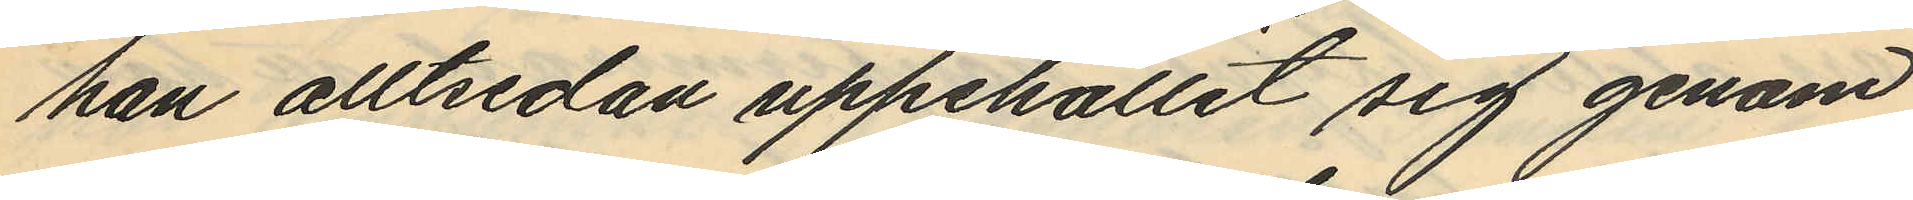han alltsedan uppehållit sig genom
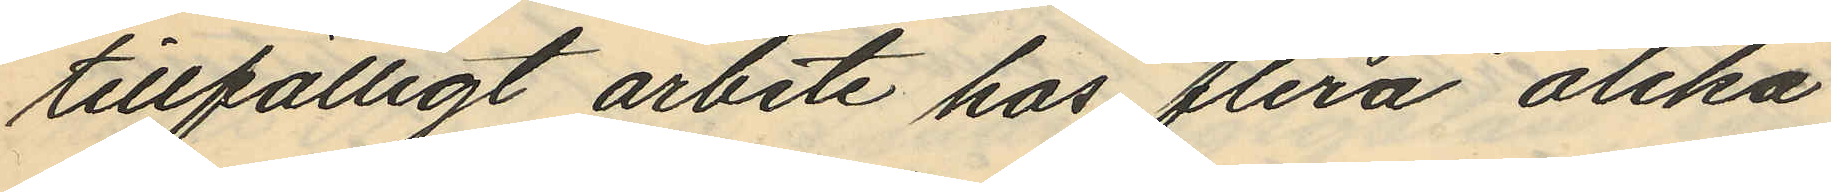tillfälligt arbete hos flera olika
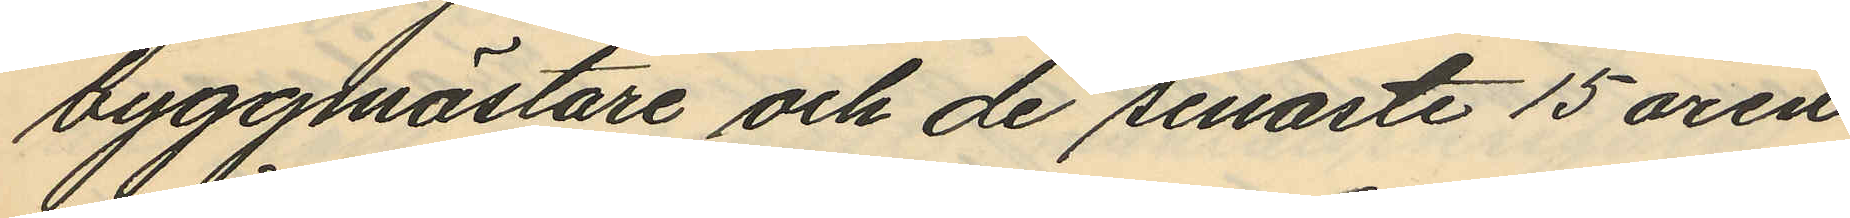byggmästare och de senaste 15 åren
